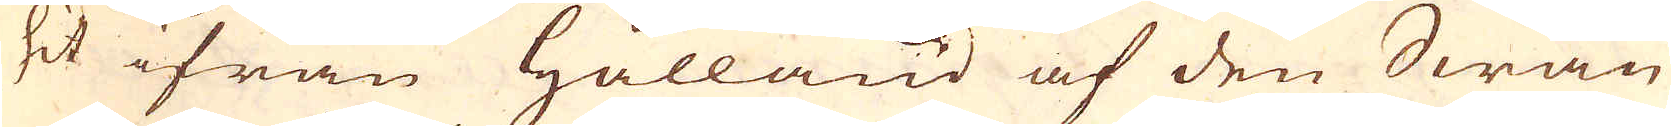hit ifrån Hålland af den Swän
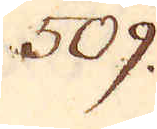509.
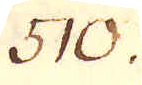510.
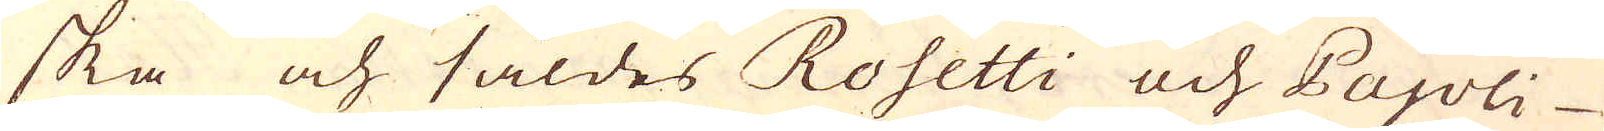ska och såldes Rosetti och Pajoli
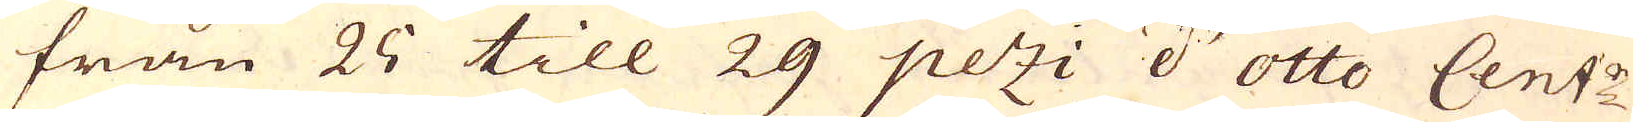från 25 till 29 pezi d'otto Cent:r
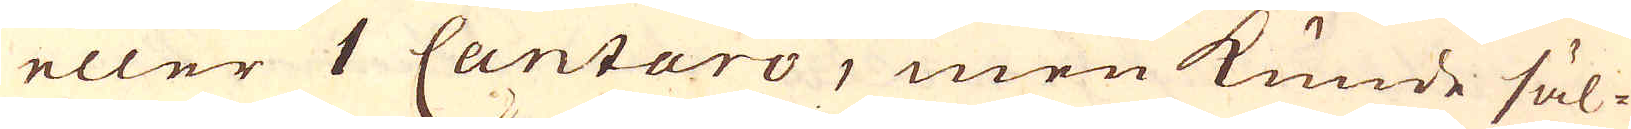eller 1 Cantaro, men kunde säl-
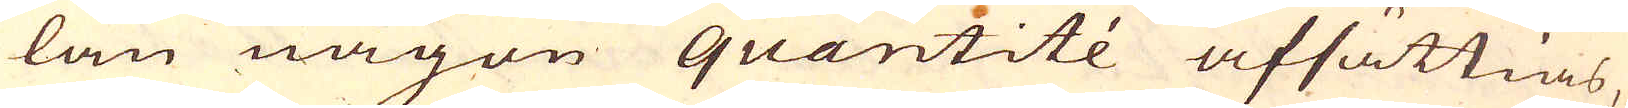lan någon quantité afsättias,
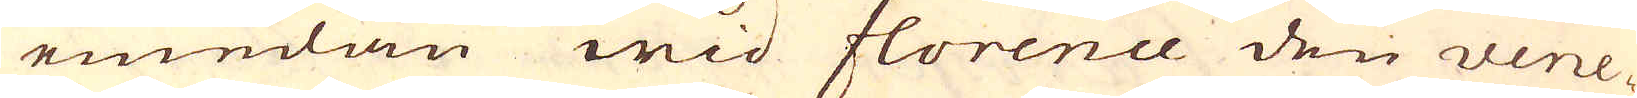emedan wid florence den vene-
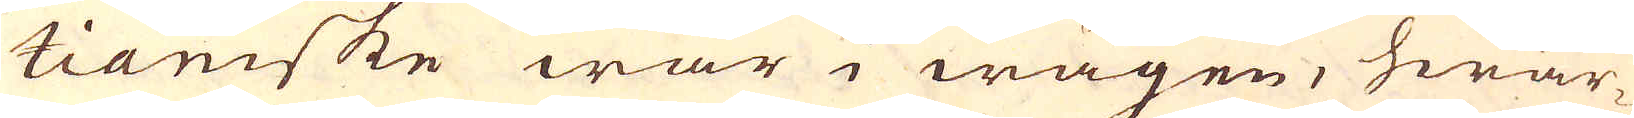tianiske war i wägen, hwar-
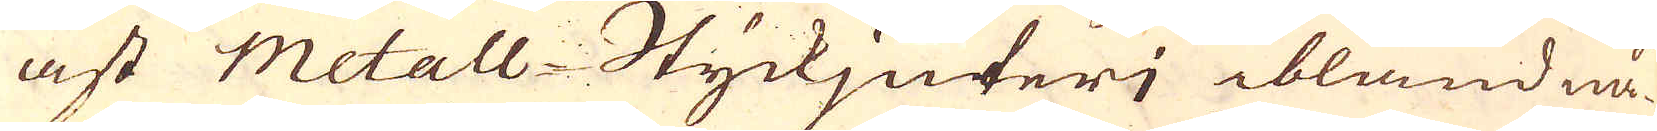äst metall-Styckjuteri ibland nå-
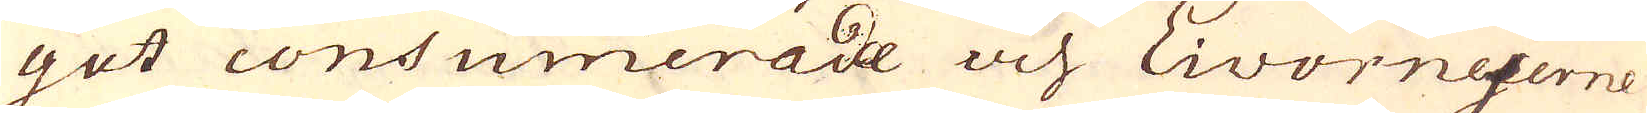got consumerade och Livorneserne
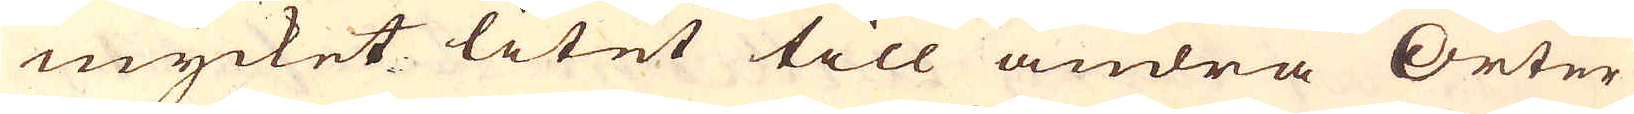mycket litet till andra Orter
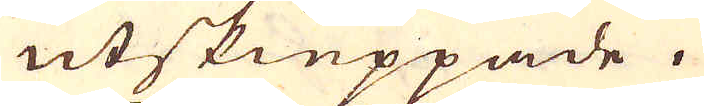utskieppade.
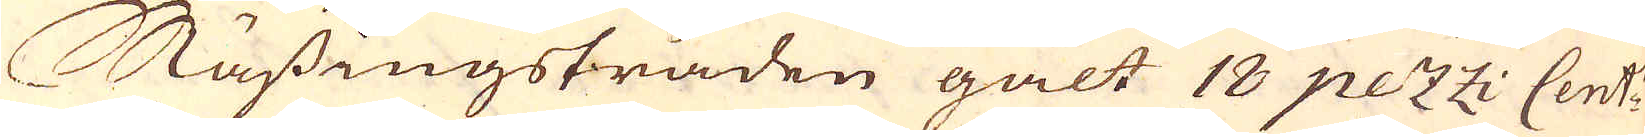Mässingstråden galt 18 pezzi Cent:.
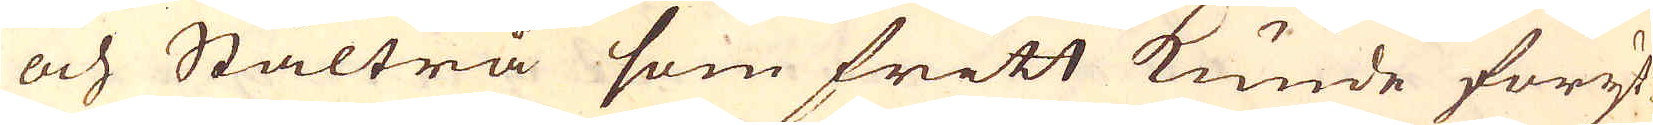och Ståltrå som fritt kunde föryt-
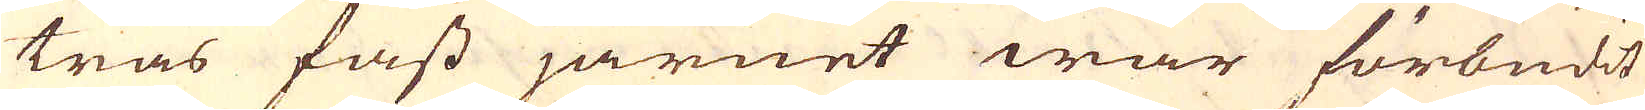tras fast järnet war förbudit
